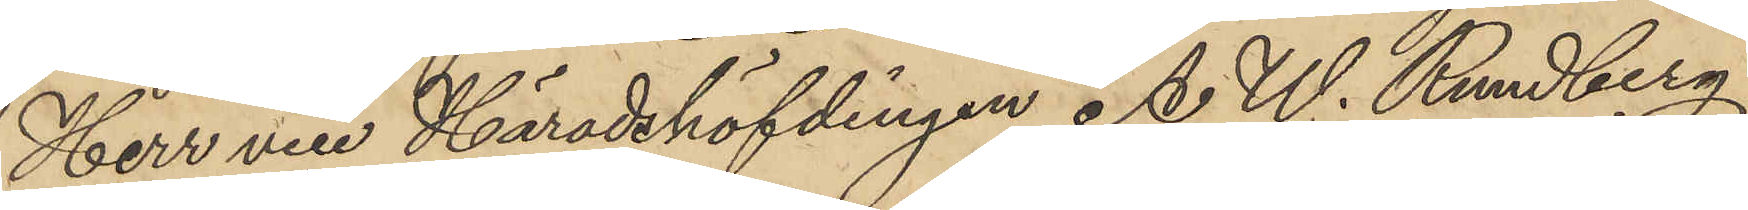Herr vice Häradshöfdingen A. W. Rundberg
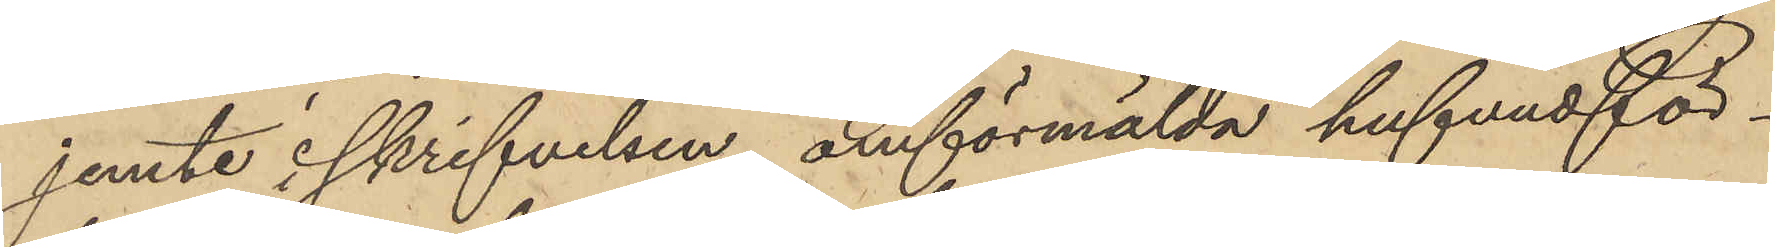jemte i skrifvelsen omförmälda hufvudför¬
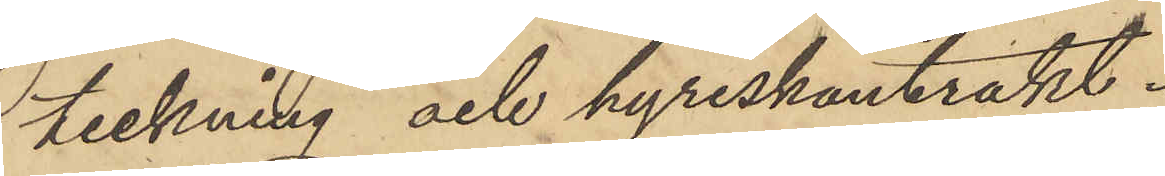teckning och hyreskontrakt.
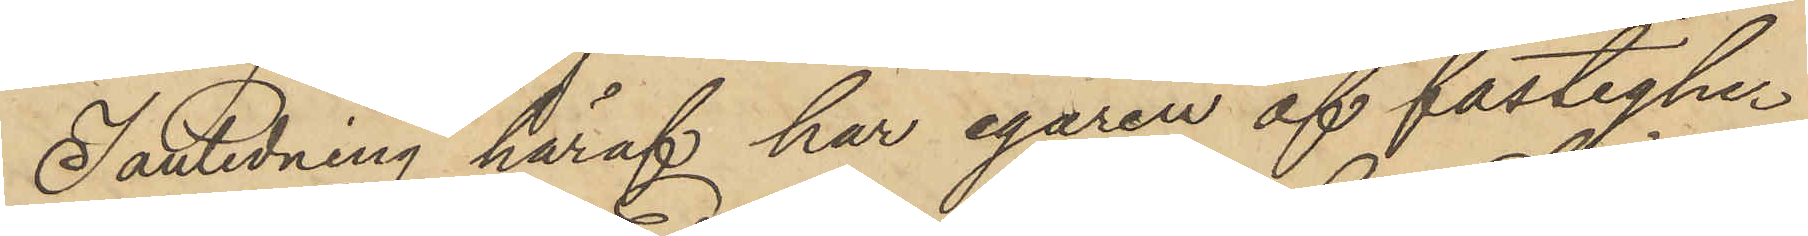I anledning häraf har egaren af fastighe¬
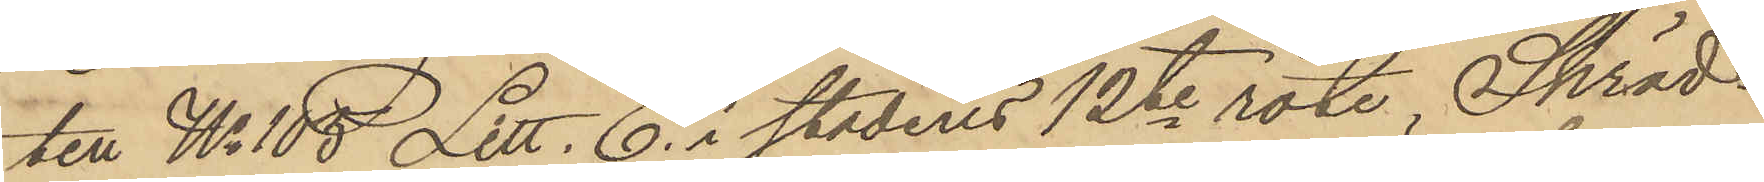ten No 105 Litt. C. i stadens 12te rote Skräd¬
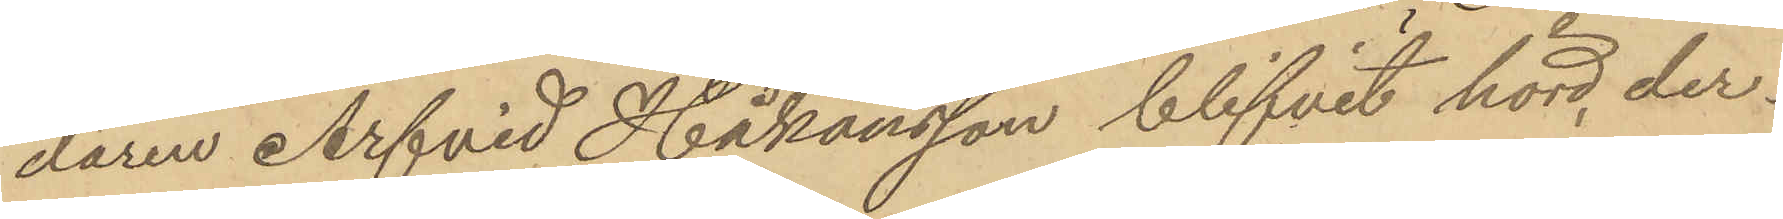daren Arfvid Håkansson blifvit hörd, der¬
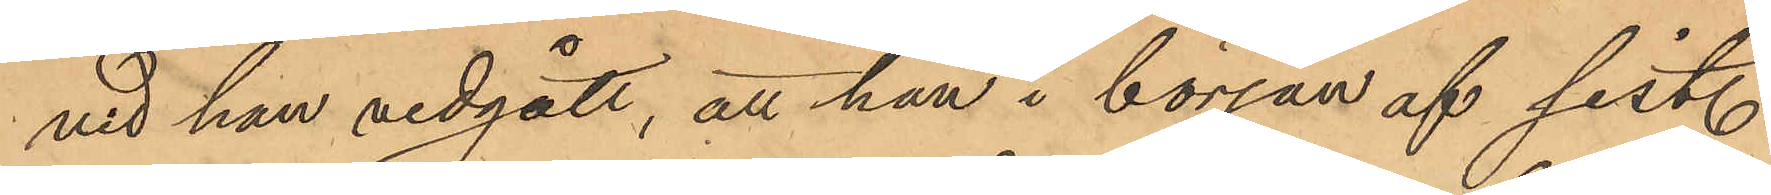vid han vidgått, att han i början af sist.
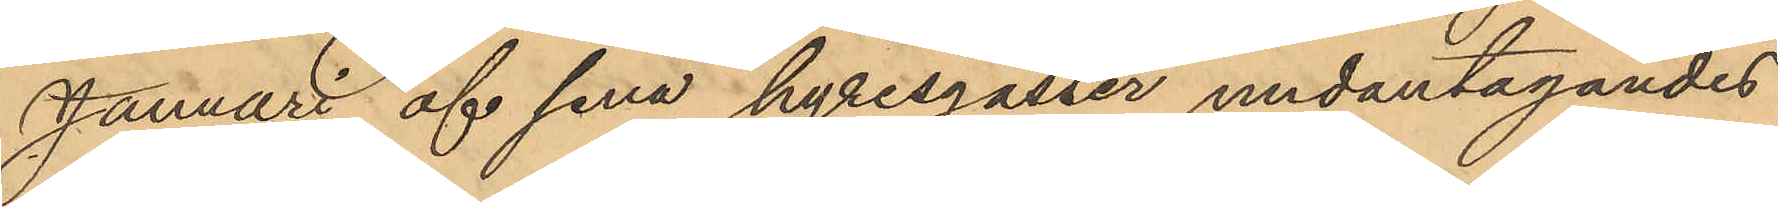Januari af sina hyresgäster undantagandes
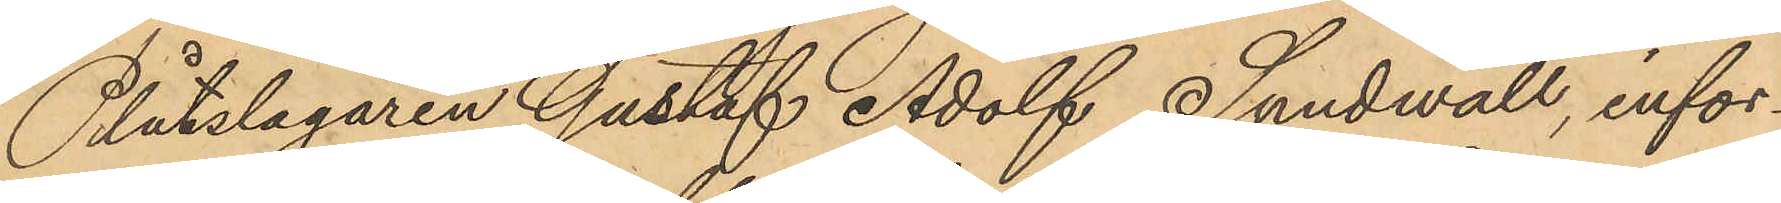Plåtslagaren Gustaf Adolf Sundwall, infor¬
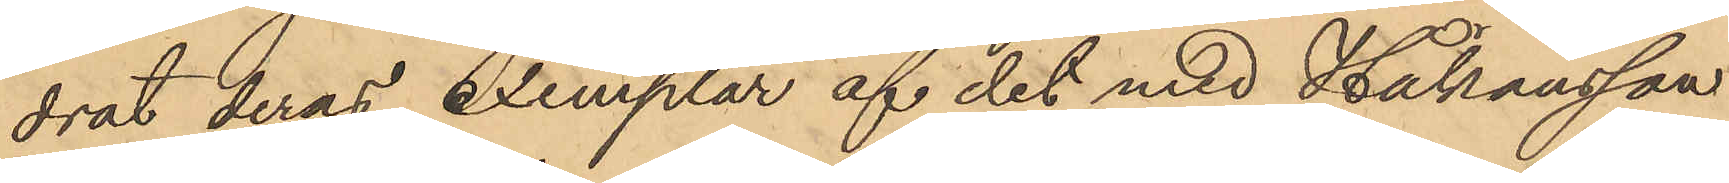drat deras exemplar af det med Håkansson
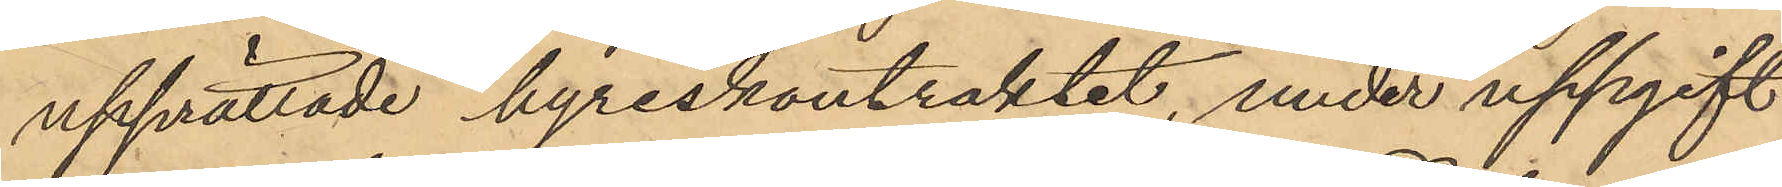upprättade hyreskontraktet, under uppgift
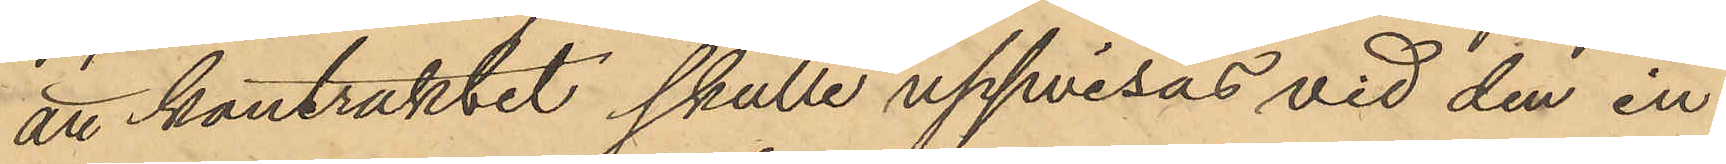att kontraktet skulle uppvisas vid den in¬
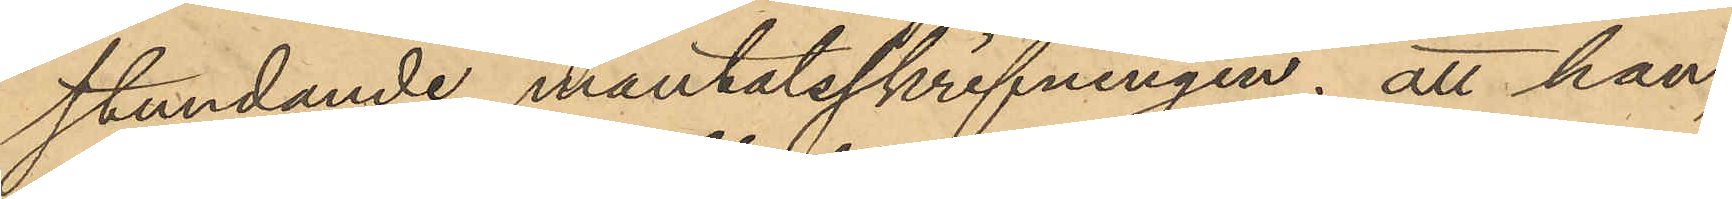stundande mantatsskrifningen; att han,
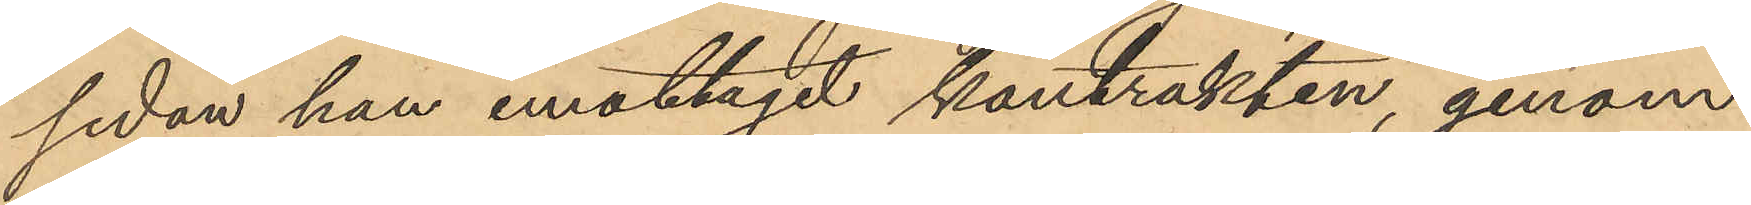sedan han emottagit kantrakten, genom
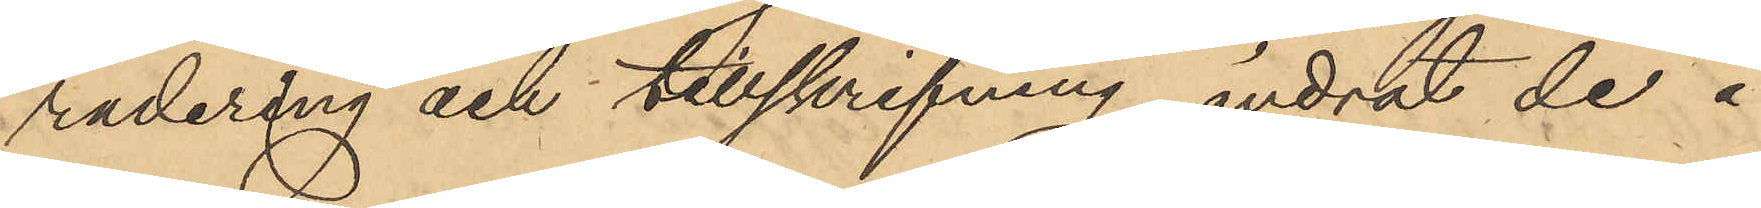radering och tillskrifning, ändrat de å
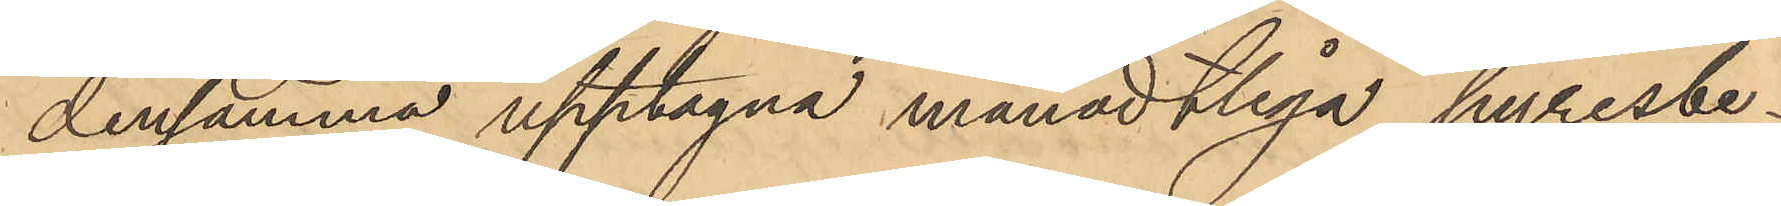densamma upptagna månadtliga hyresbe¬
